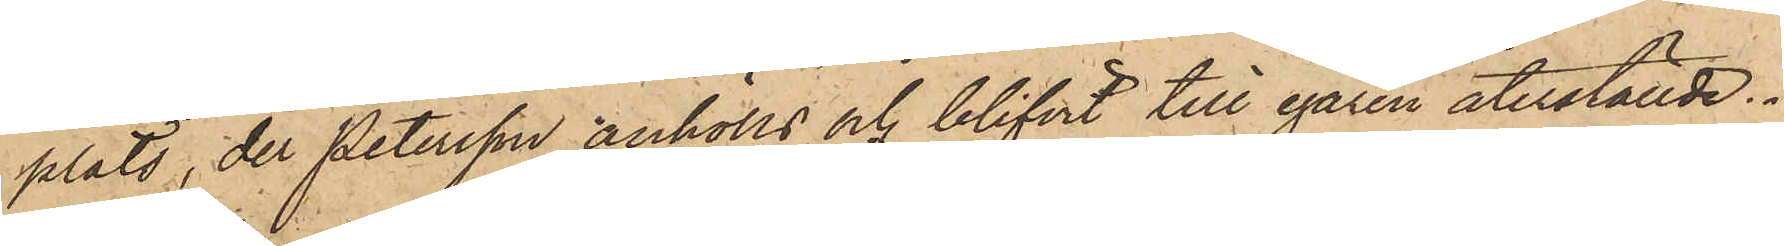plats, der Petersson anhölls och blifvit till egaren återställde.
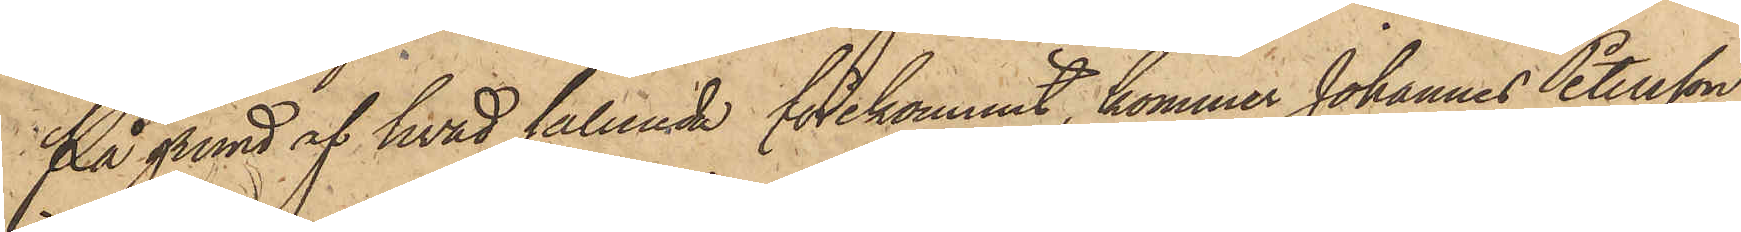På grund af hvad sålunda förekommit, kommer Johannes Petersson
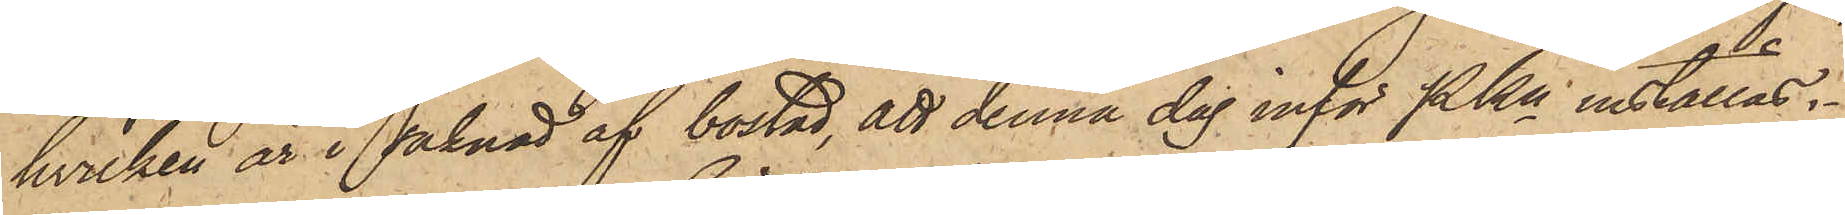hvilken är i saknad af bostad, att denna dag inför Pkn inställas.
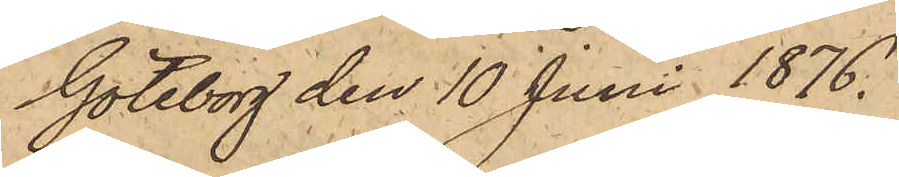Göteborg den 10 Juni 1876.
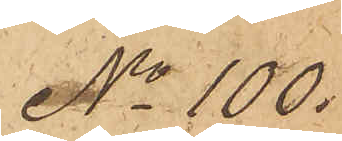No 100.
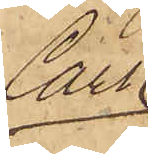Carl
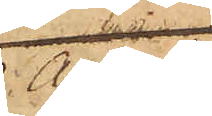August
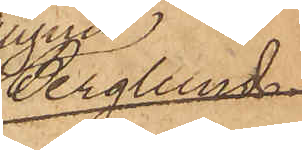Berglund.
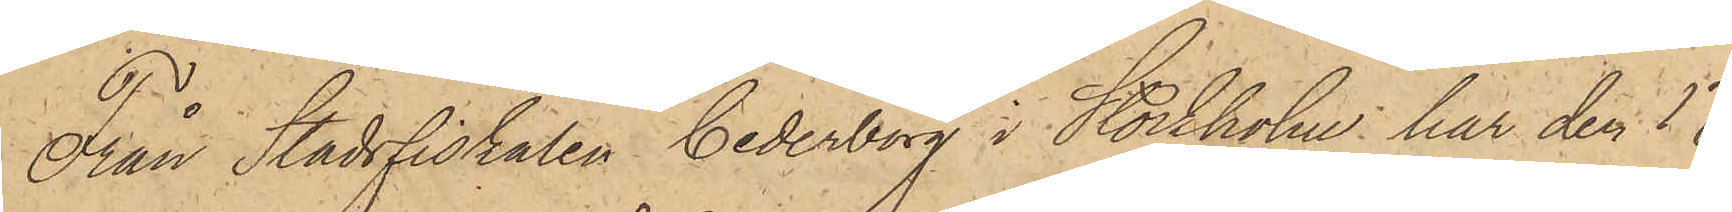Från Stadsfiskalen Cederborg i Stockholm har den 17
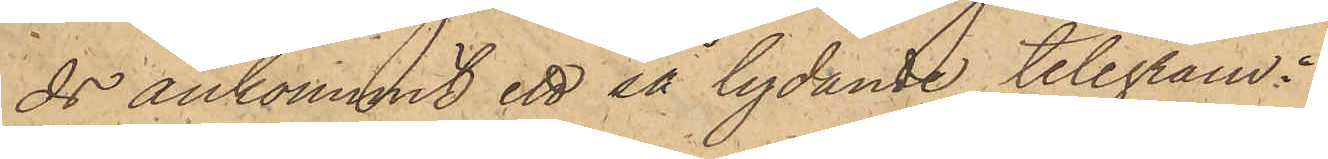ds ankommit ett så lydande telegram:
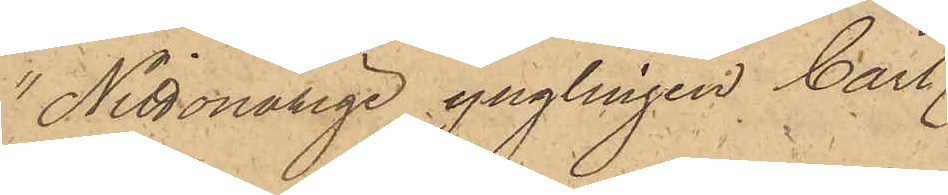"Nittonårige ynglingen Carl
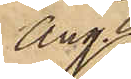Aug.
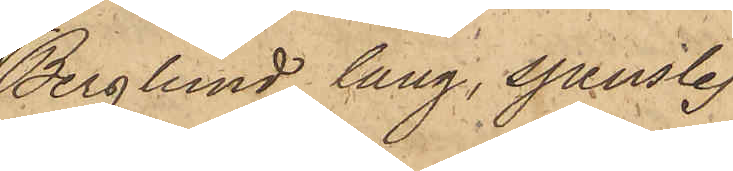Berglund, lång, spenslig
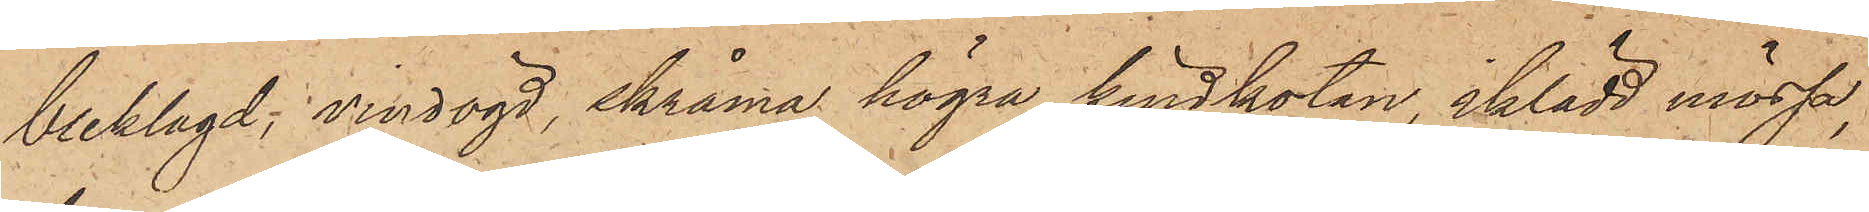bleklagd, vindögd, skråma högra kindkoten, iklädd mössa,
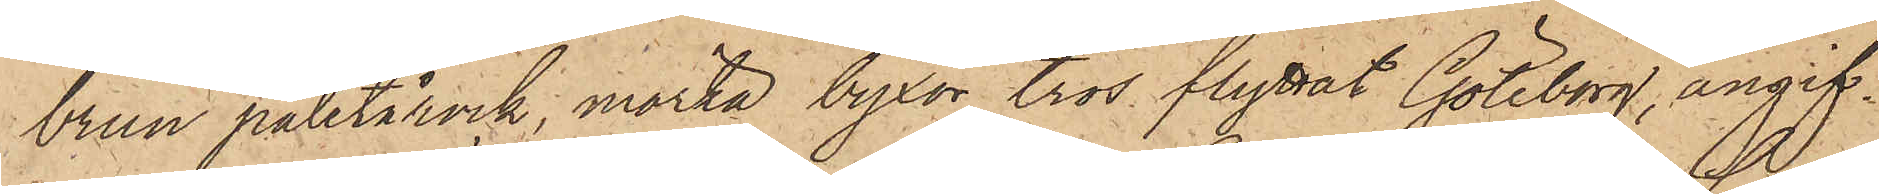brun paletårock, mörka byxor, tros flyttat Göteborg, angif¬
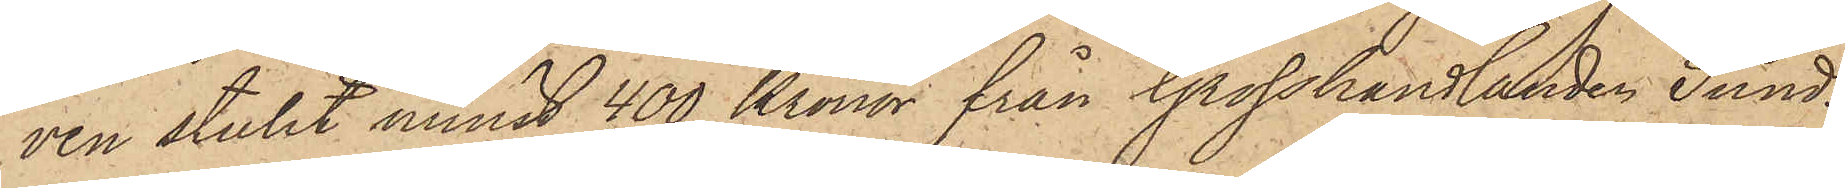ven stulit minst 400 Kronor från Grosshandlanden Sund¬
